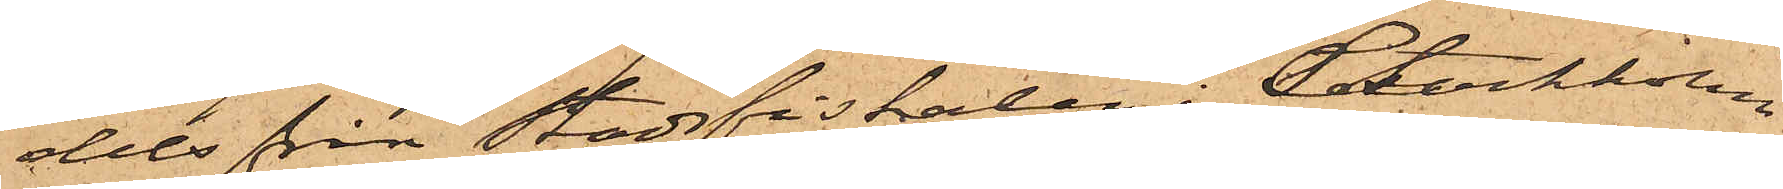dels från Stadsfiskalen i Stockholm
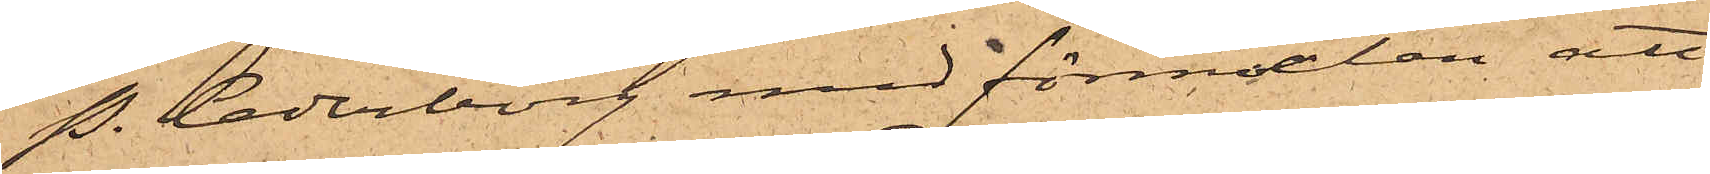P. Cederborg med förmälan att
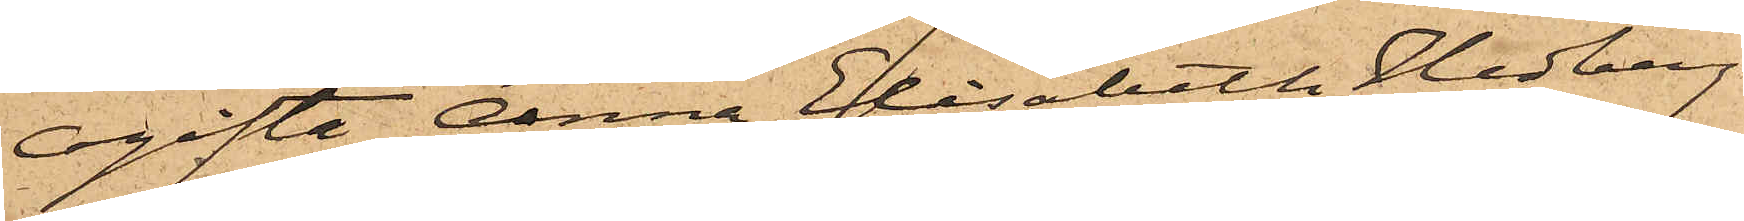Ogifta Anna Elisabeth Hedberg
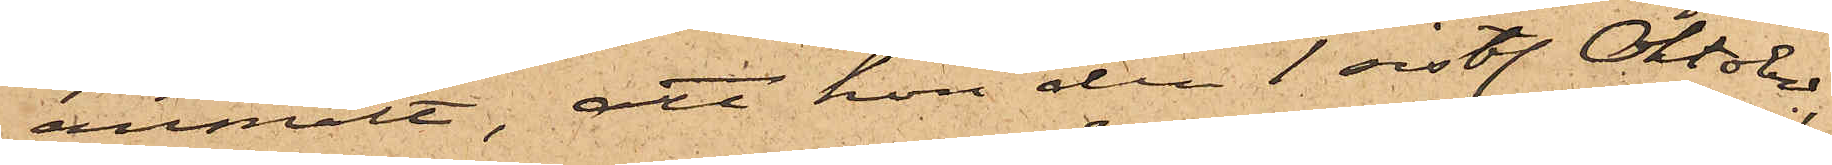anmält, att hon den 1 sistl. Oktober,
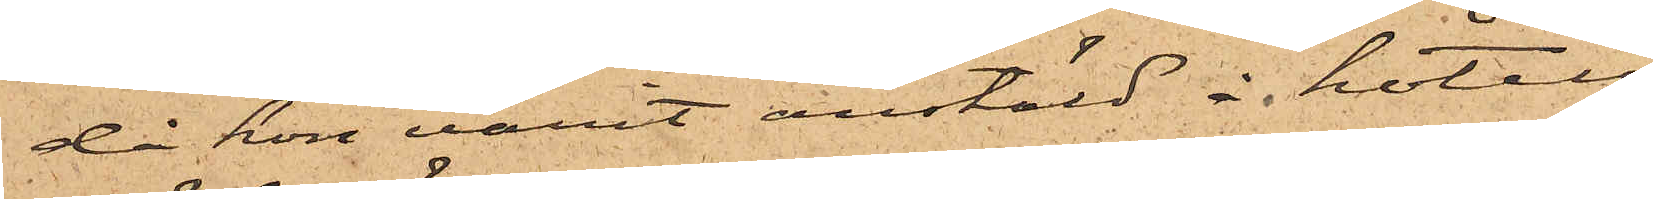då hon varit anstäld å hotell
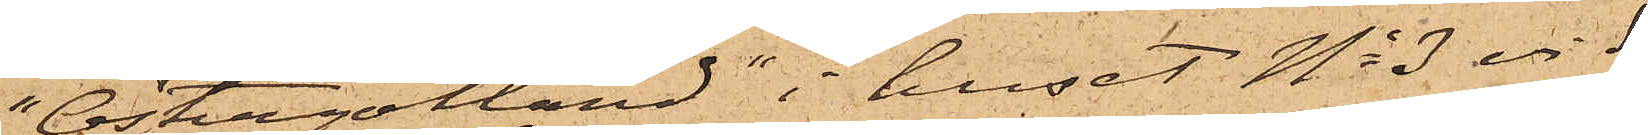"Östergötland" i huset No 3 vid
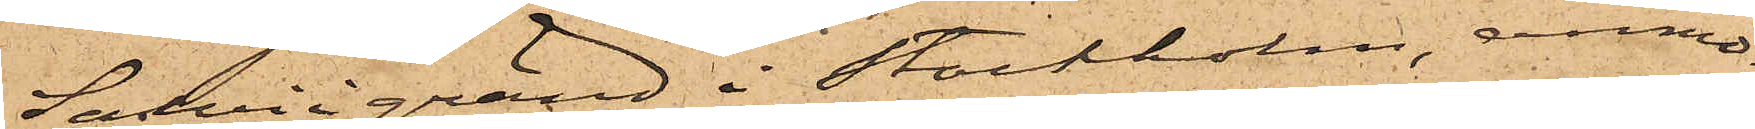Salviigränd i Stockholm, anmo¬
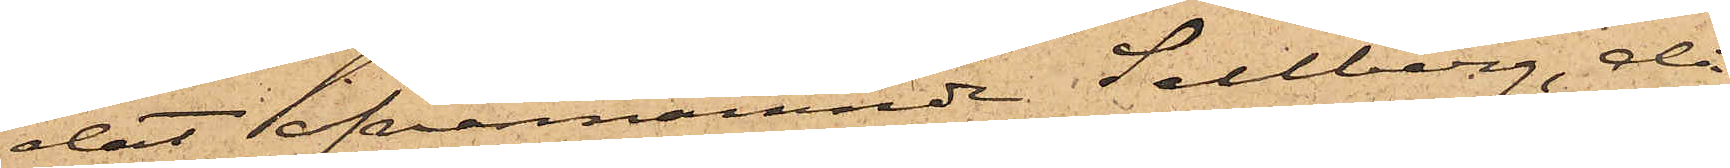dat ofvannämnde Sellberg, då
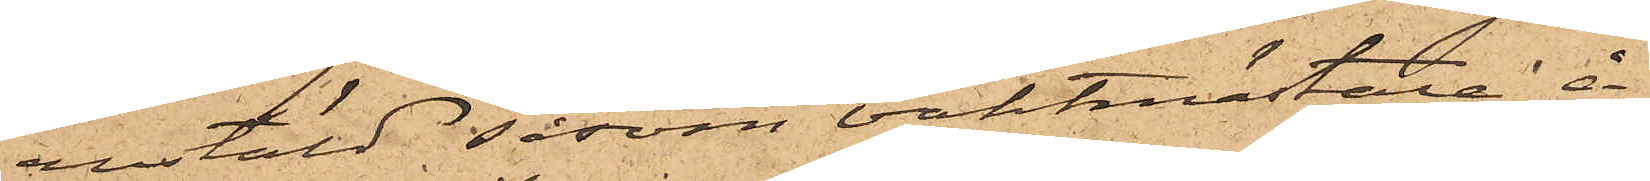anstäld såsom vaktmästare å
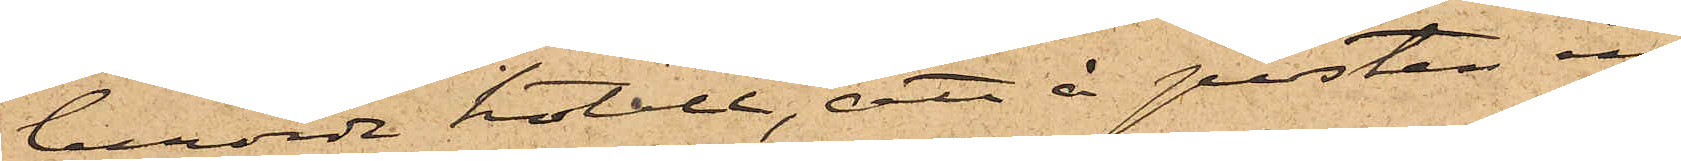berörde hotell, att å posten in¬
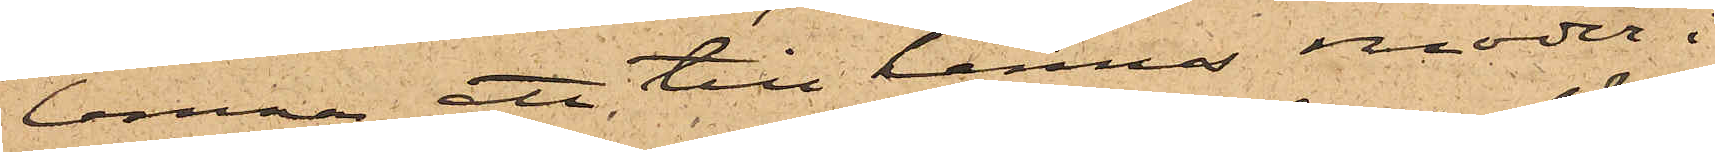lemna ett till hennes moder i
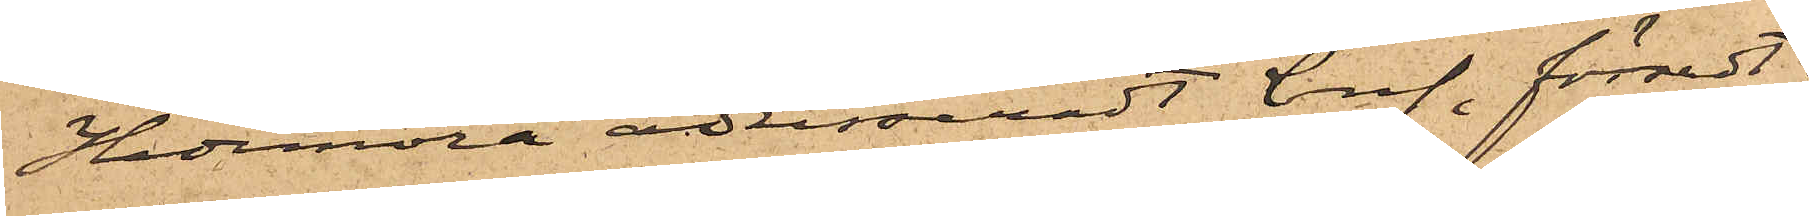Hedemora adresseradt bref, försedt
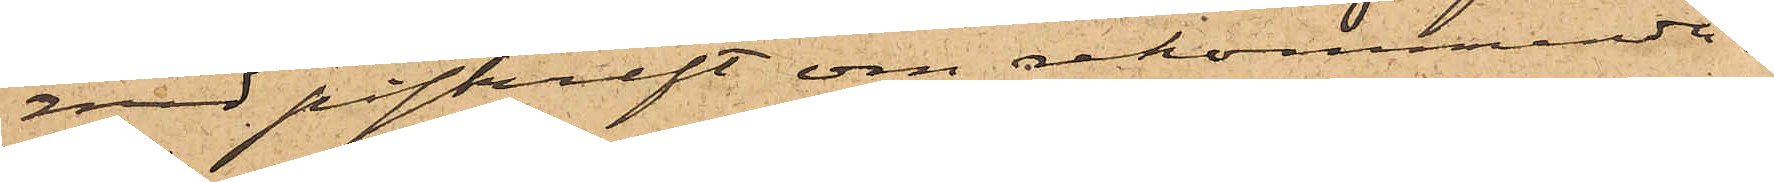med påskrift om rekommenda¬
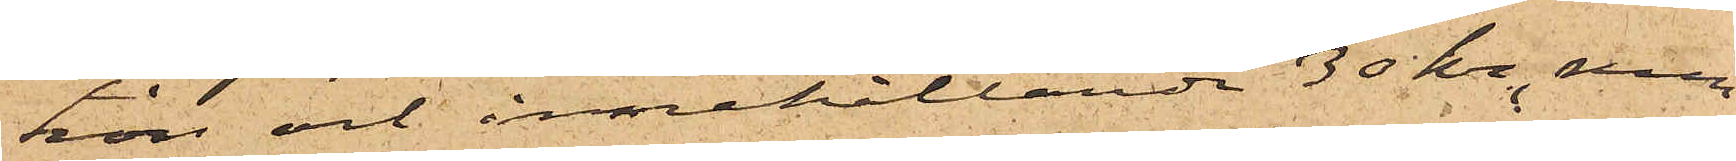hon och innehållande 30 kr., som
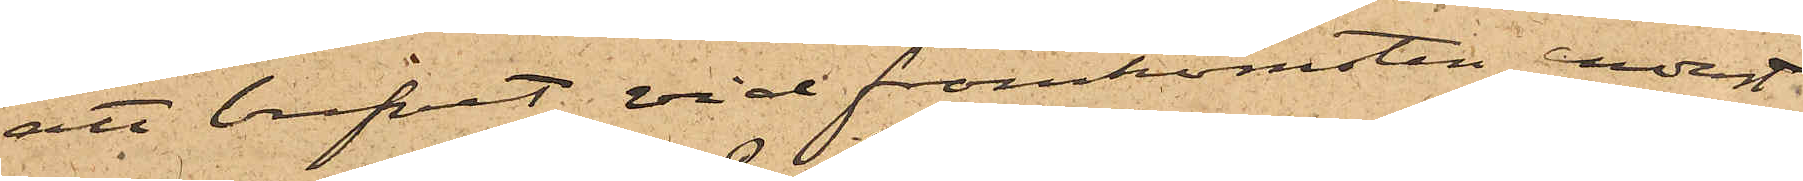att brefvet vid framkomsten endast
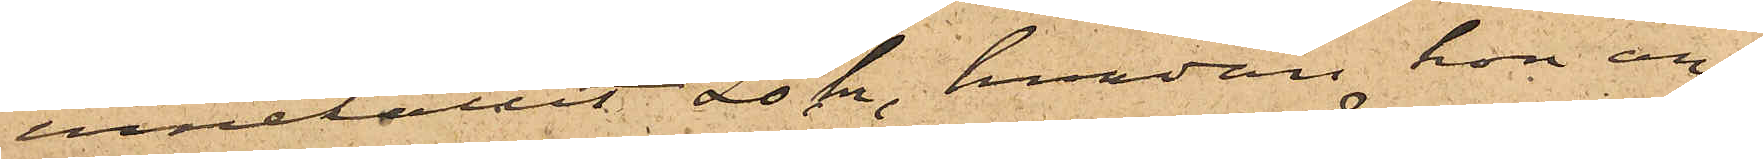innehållit 20 kr, hvadan hon an¬
